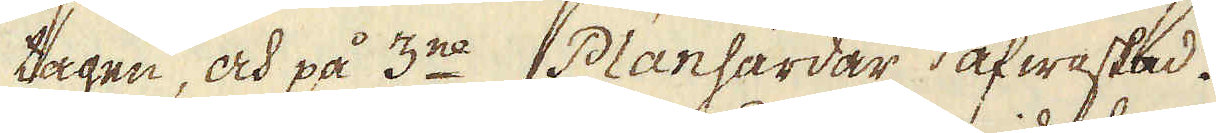tagen, och på 3ne Planhärdar afwaskad.
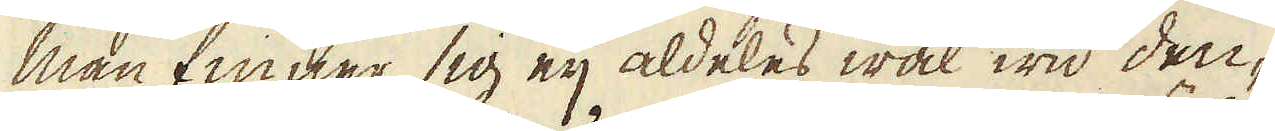Man finner sig eij aldeles wäl wid den-
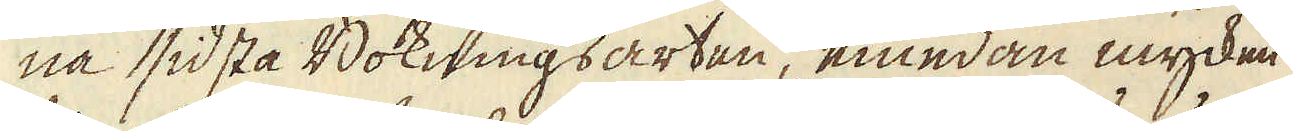na sidsta Bokningsarten, emedan mycken
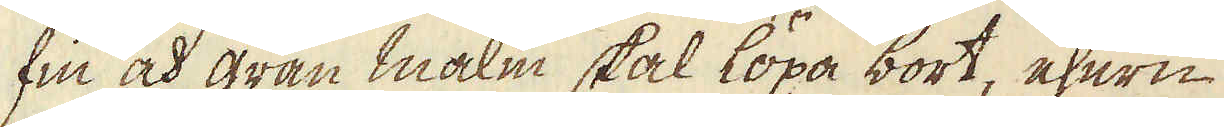sin och gran malm skal löpa bort, ehuru
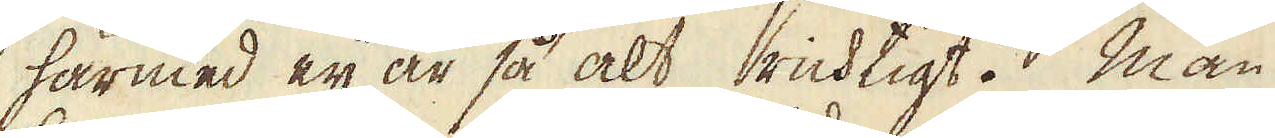härmed eij är så alt richtigt. Man
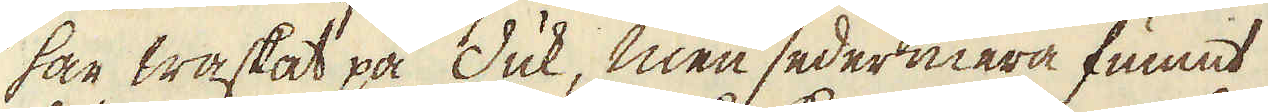har waskat på duk, men sedermera funnit
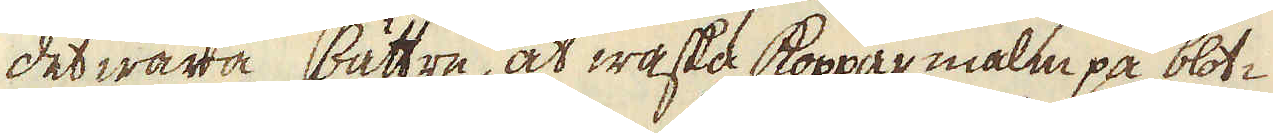det wara bättre, at waska kopparmalm på blot-
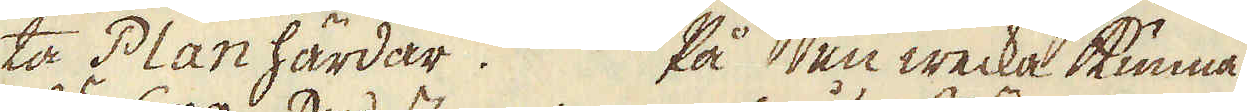ta Plan härdar. På en wecka kunna
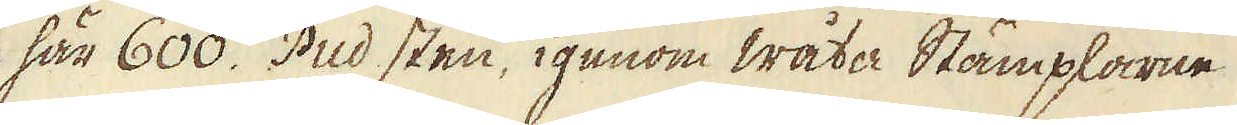här 600. Pud sten, igenom wåta Stämplarne
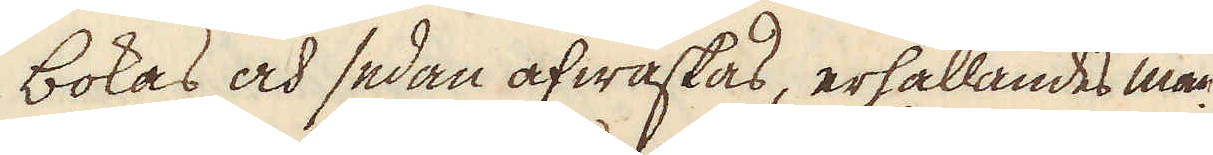bokas och sedan afwaskas, erhållandes man
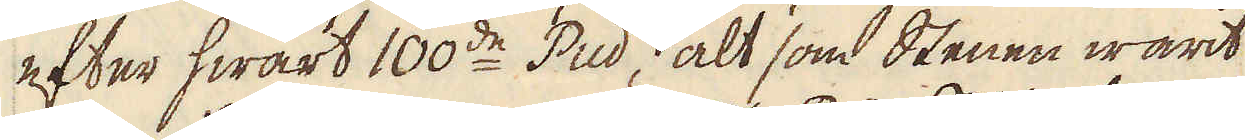efter hwart 100de Pud, alt som Stenen warit
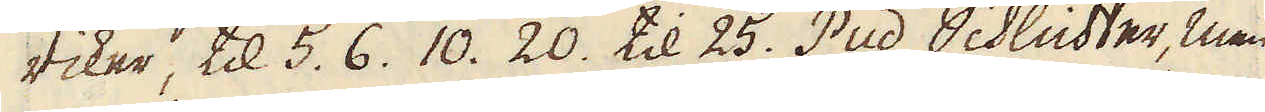riker, til 5. 6. 10. 20. til 25. Pud Schlichter, men
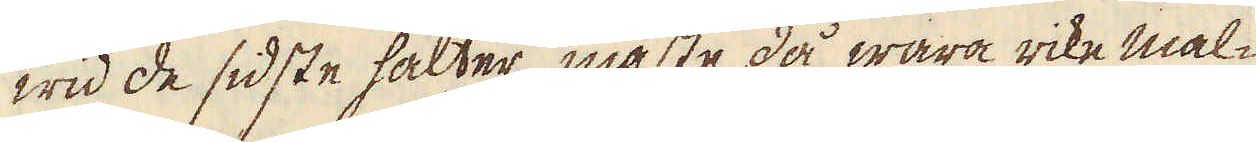wid de sidste halter måste då wara rike mal-
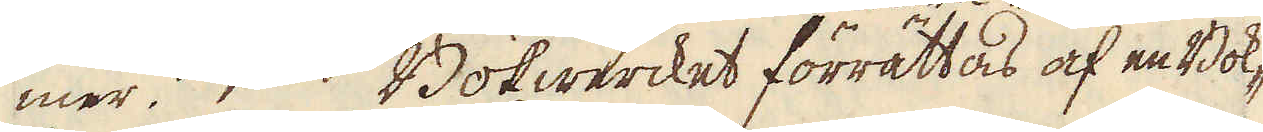mer 1. Bofwercket förrättas af en Bok-
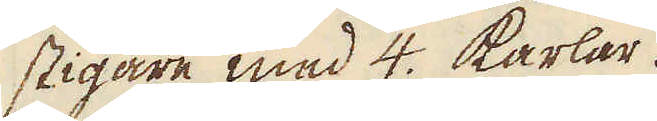stigare med 4. karlar.
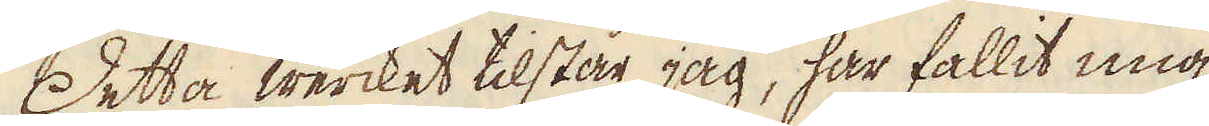Detta wercket tilstår jag, har fallit mig
